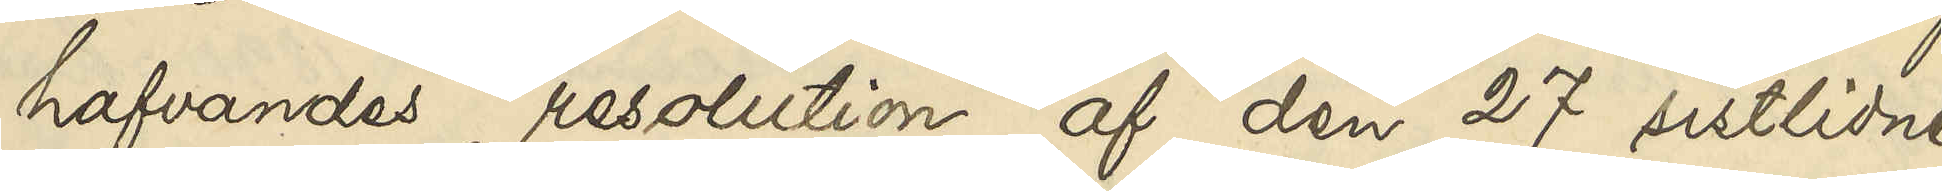hafvandes resolution af den 27 sistlidne
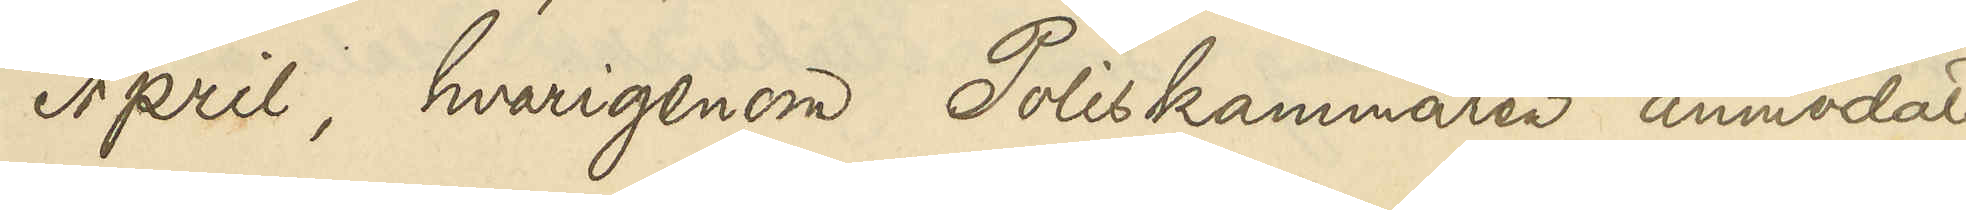April, hvarigenom Poliskammaren anmodats
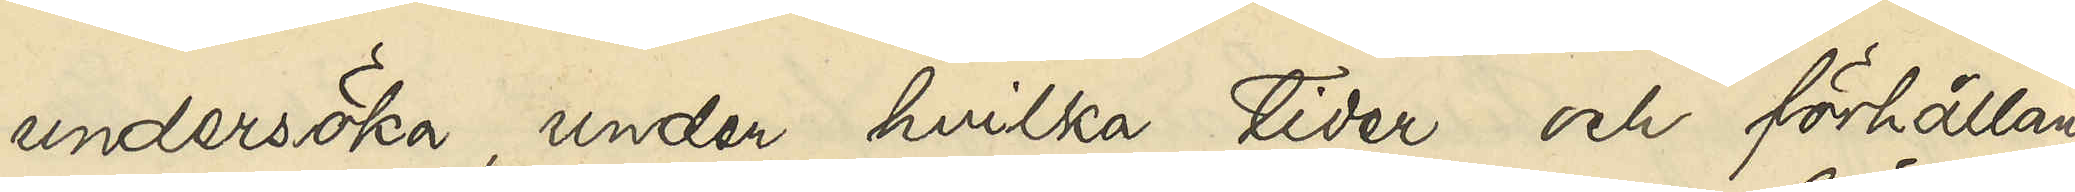undersöka, under hvilka tider och förhållan¬
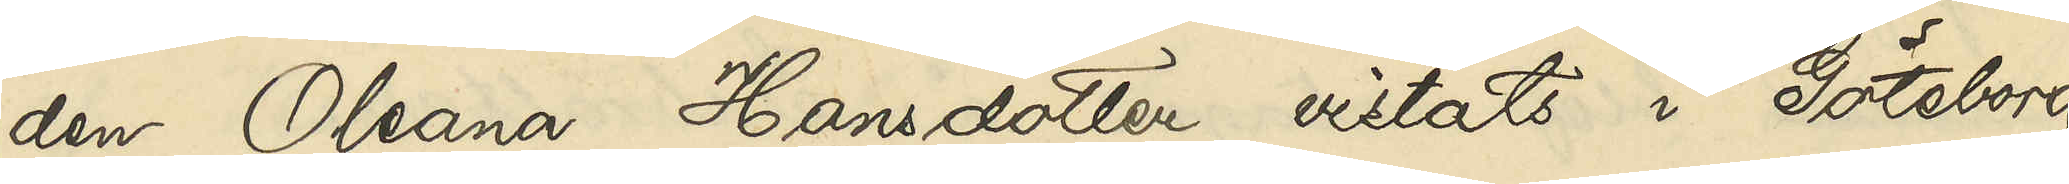den Oleana Hansdotter vistats i Göteborg,
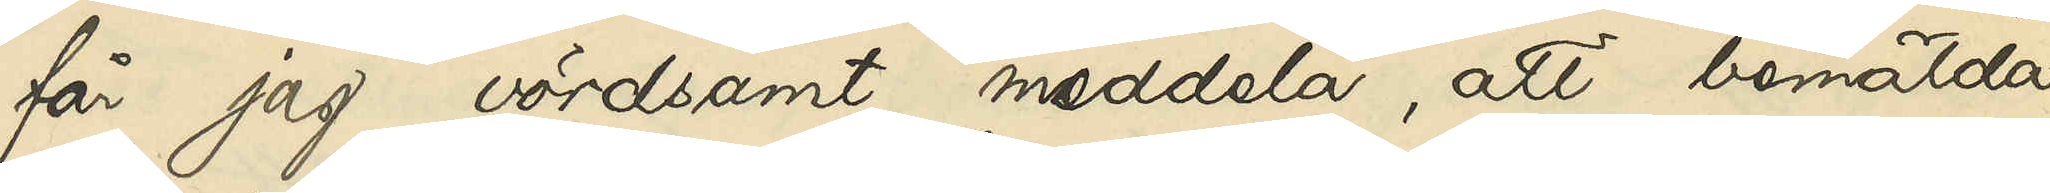får jag vördsamt meddela, att bemälda
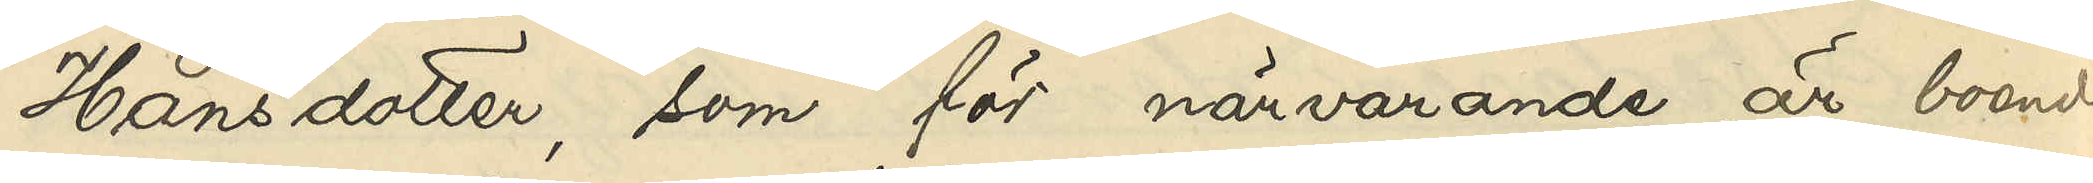Hansdotter, som för närvarande är boende
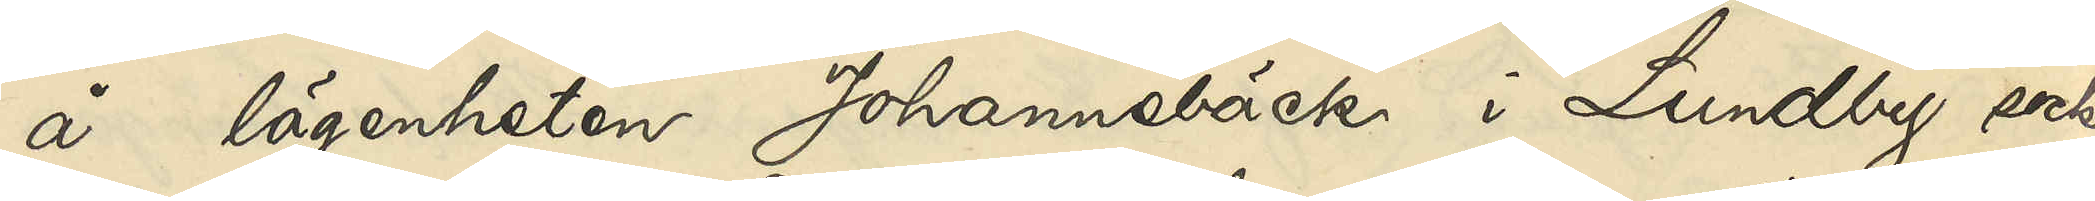å lägenheten Johannebäck i Lundby socken
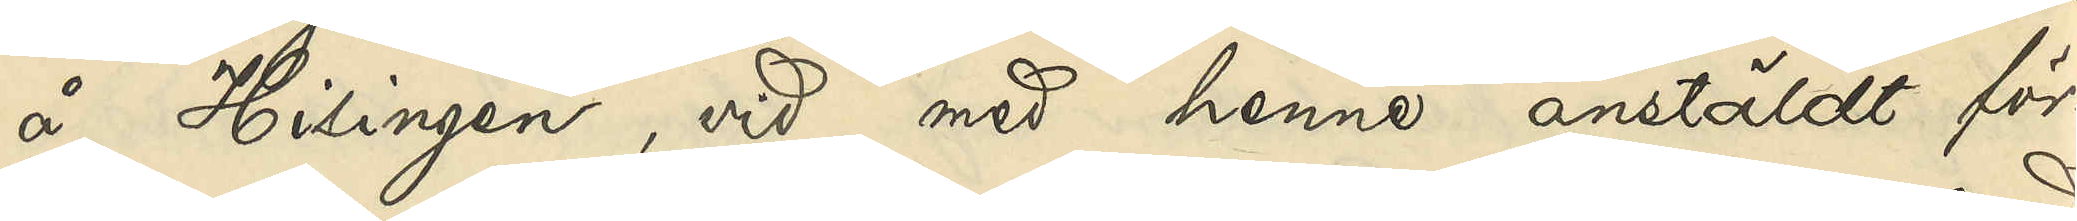å Hisingen, vid med henne anstäldt för¬
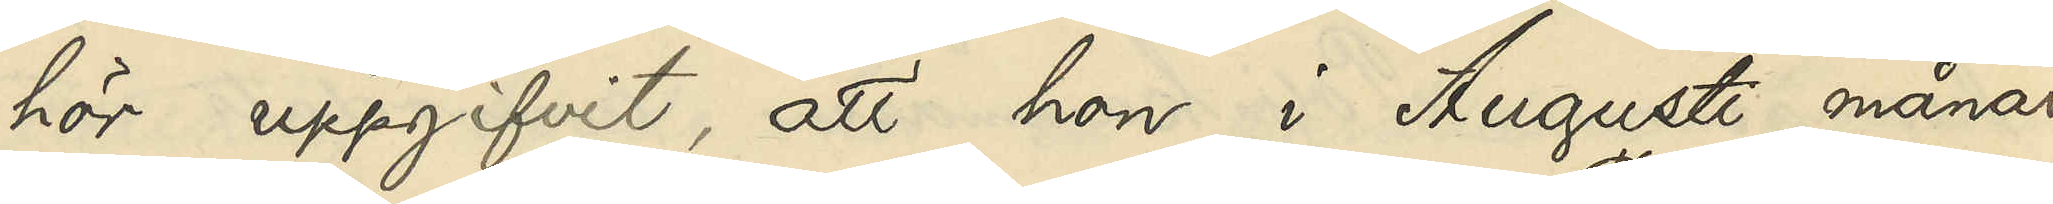hör uppgifvit, att hon i Augusti månad
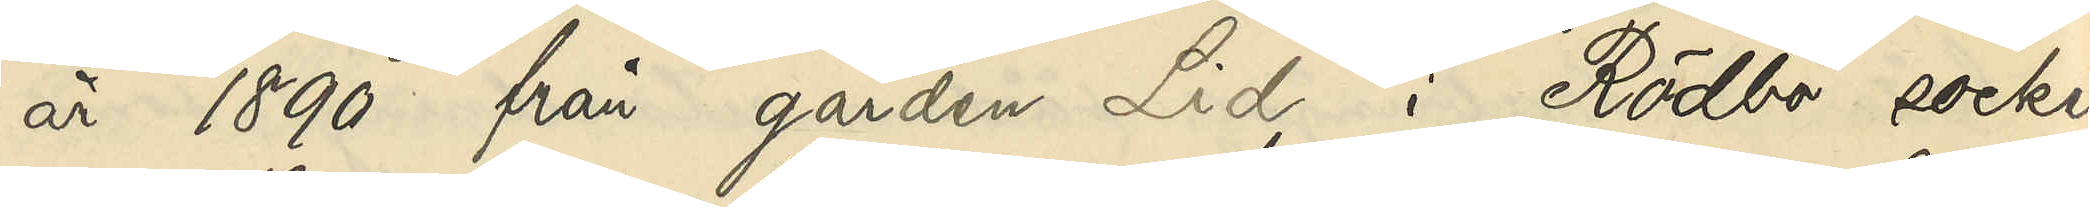år 1890 från gården Lid i Rödbo socken
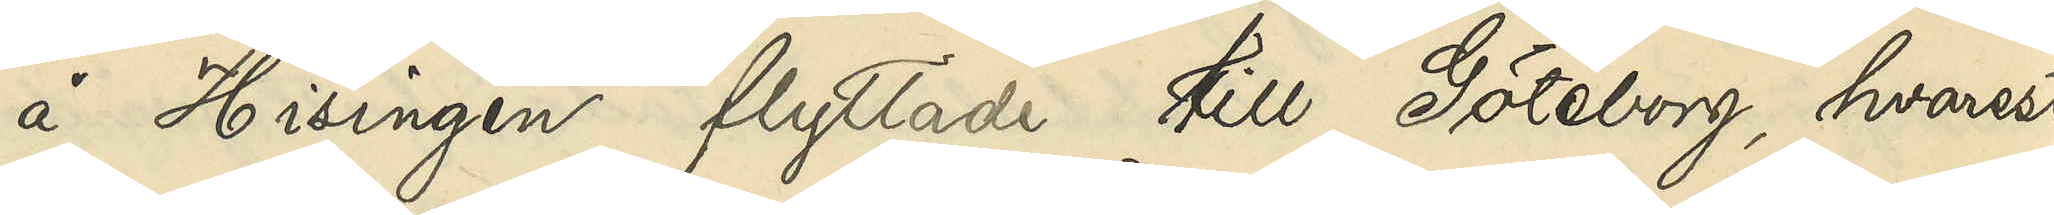å Hisingen flyttade till Göteborg, hvarest
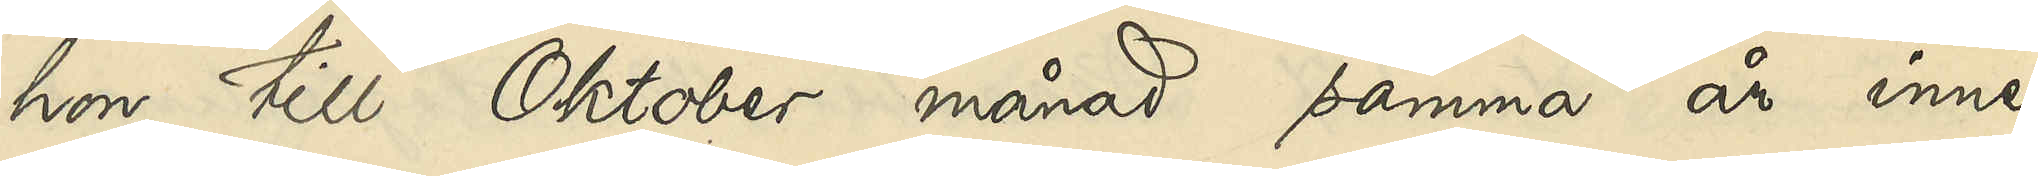hon till Oktober månad samma år inne¬
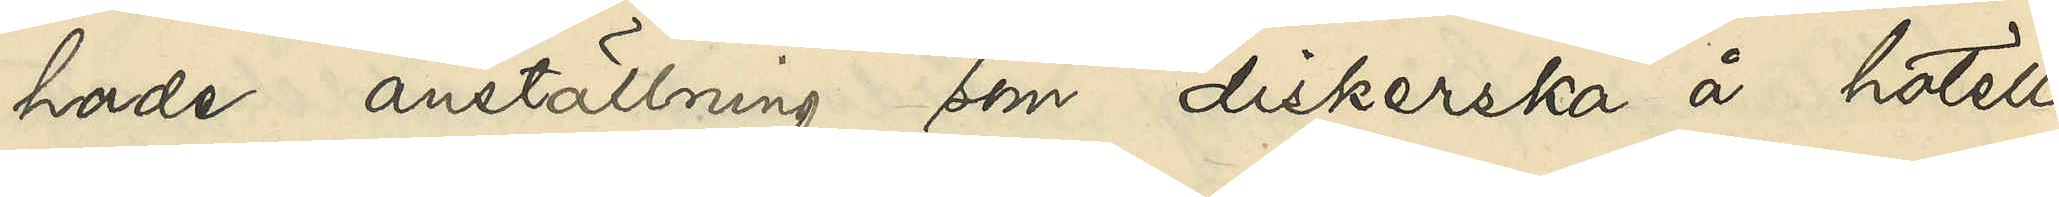hade anställning som diskerska å hotell
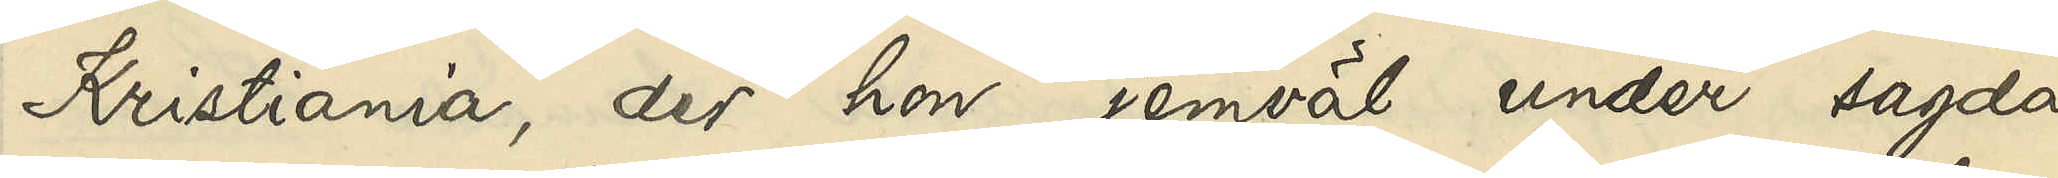Kristiania, der hon jemväl under sagda 
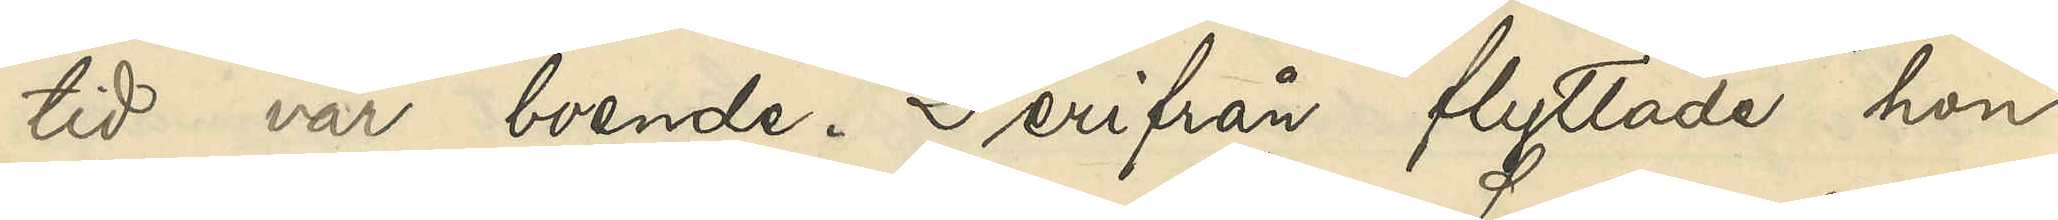tid var boende. Derifrån flyttade hon
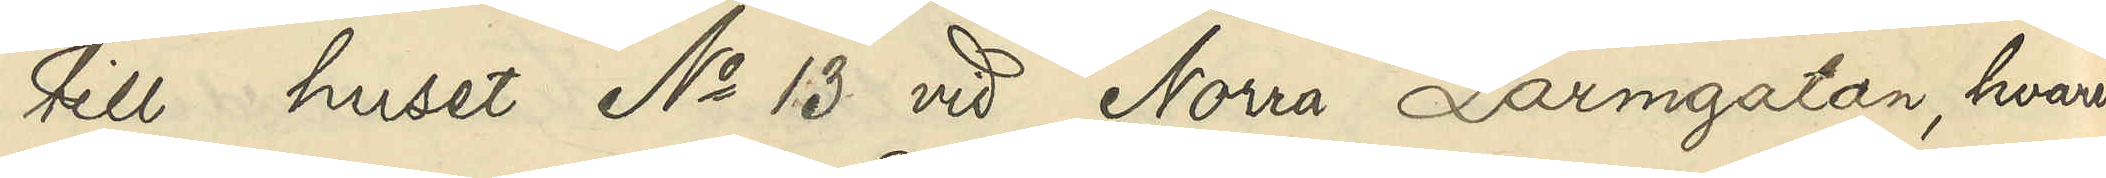till huset No 13 vid Norra Larmgatan, hvarest
